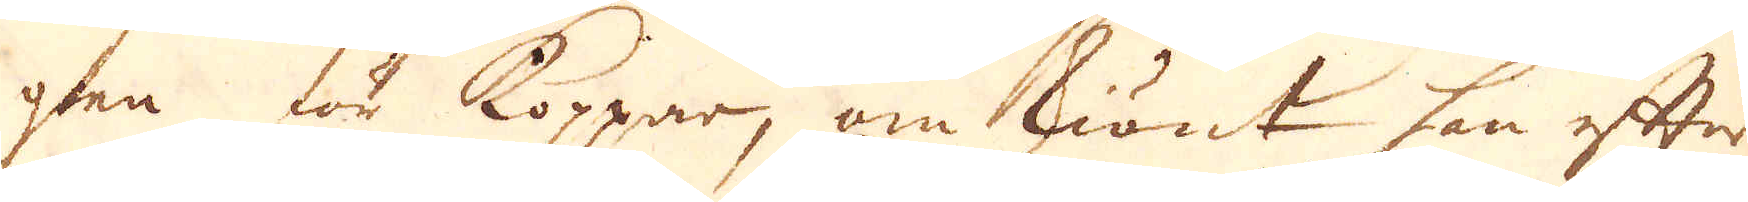gen för koppar, om skiönt han efter
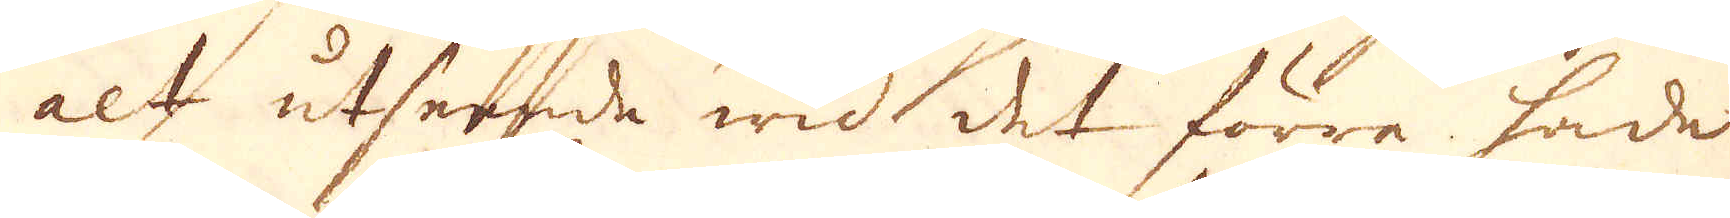alt utseende wid det förra hade
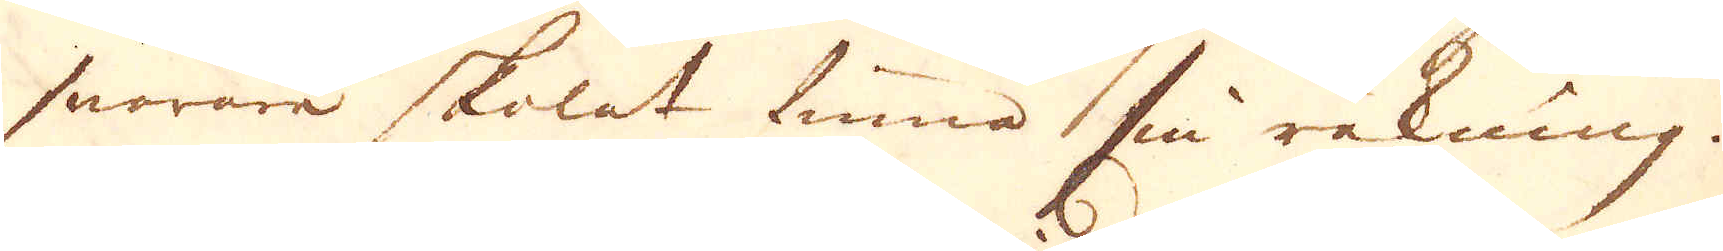snarare skolet finna sin räkning.
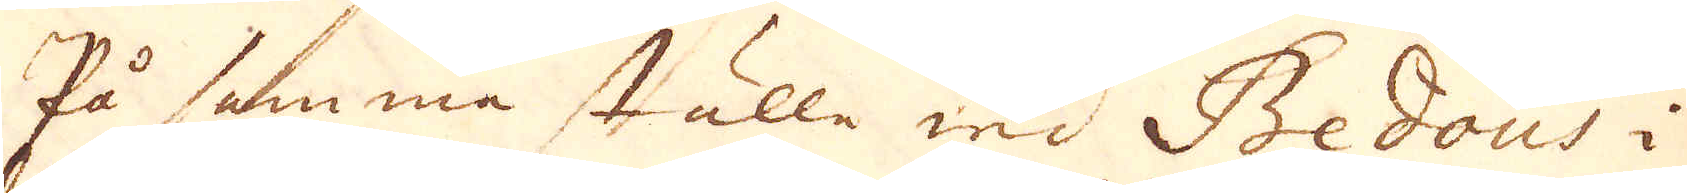På samma ställe wid Bedous i
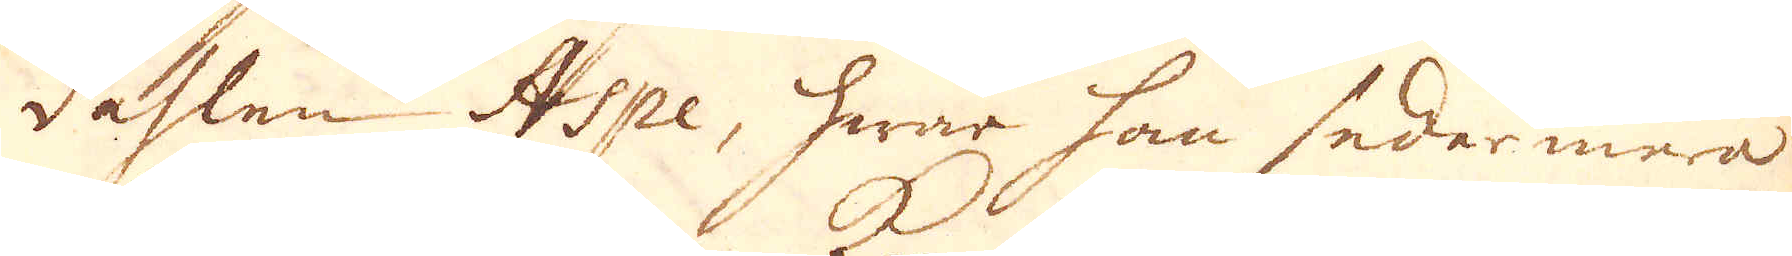dahlen Aspe, hwar han sedermera
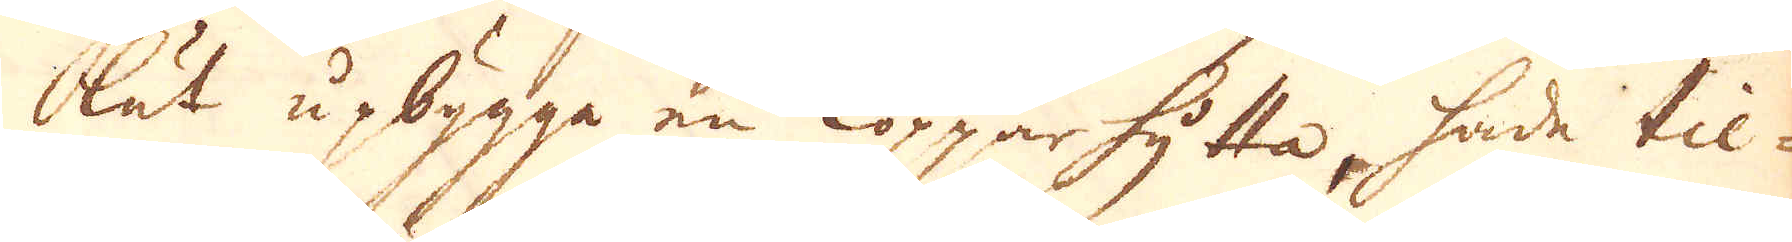lät upbygga en Kopparhytta, hade til-
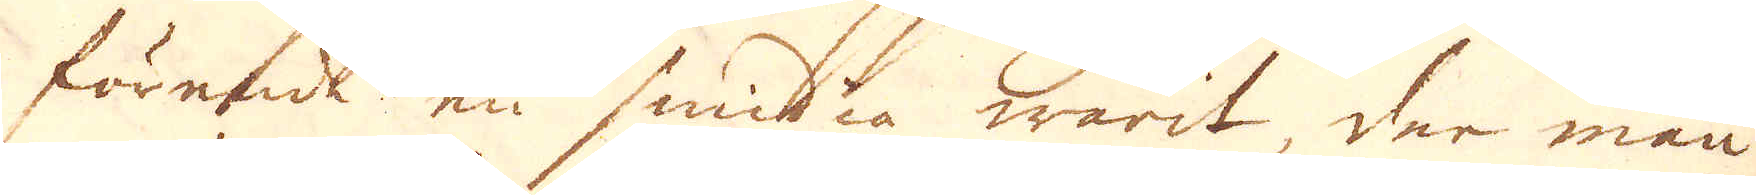förende en smidia warit, der man
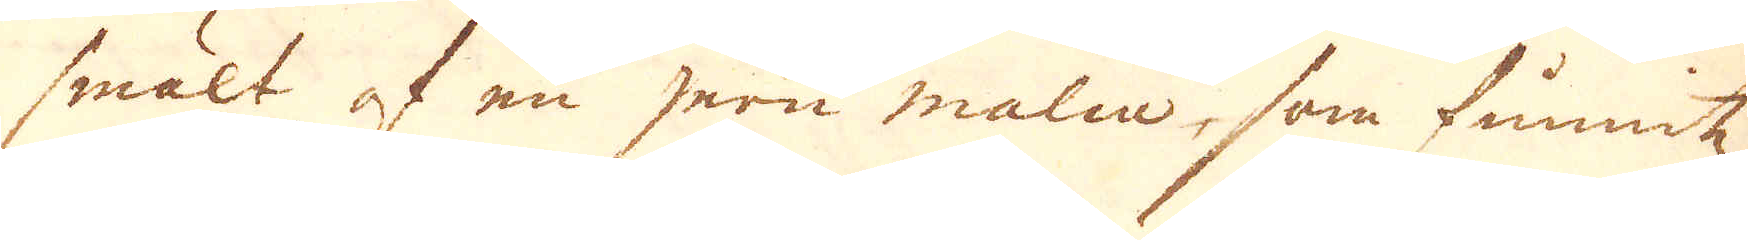smält af en jern malm, som finnitz
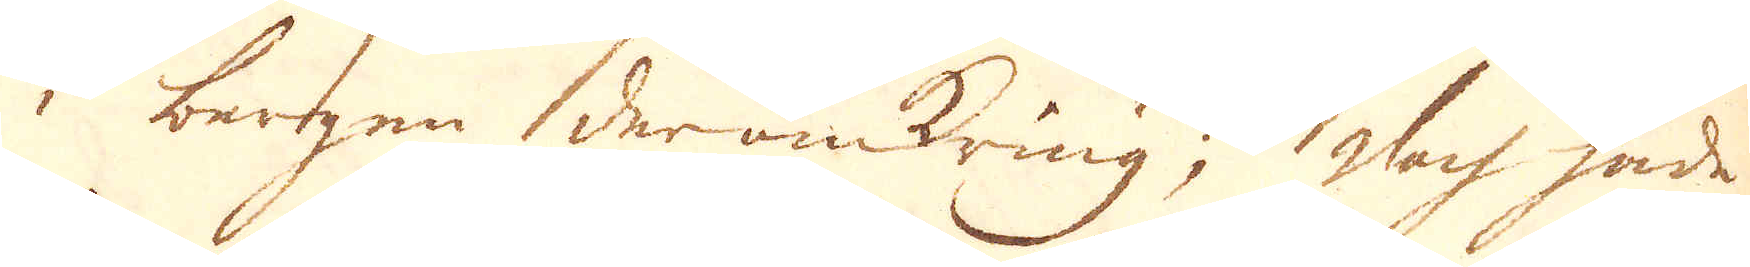i bergen deromkring; Doch hade
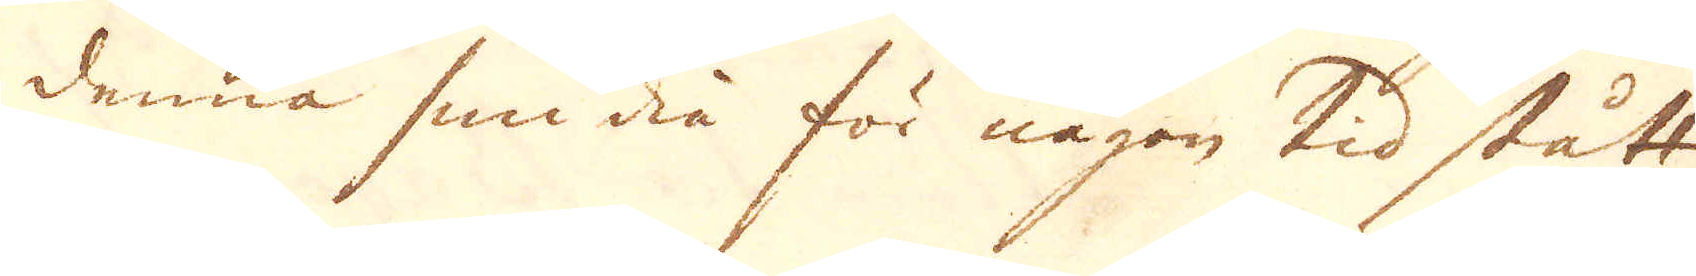denna smidia för någon tid stått
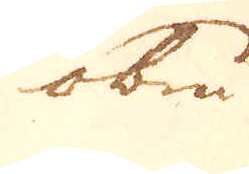obru
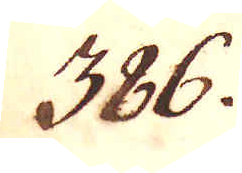386.
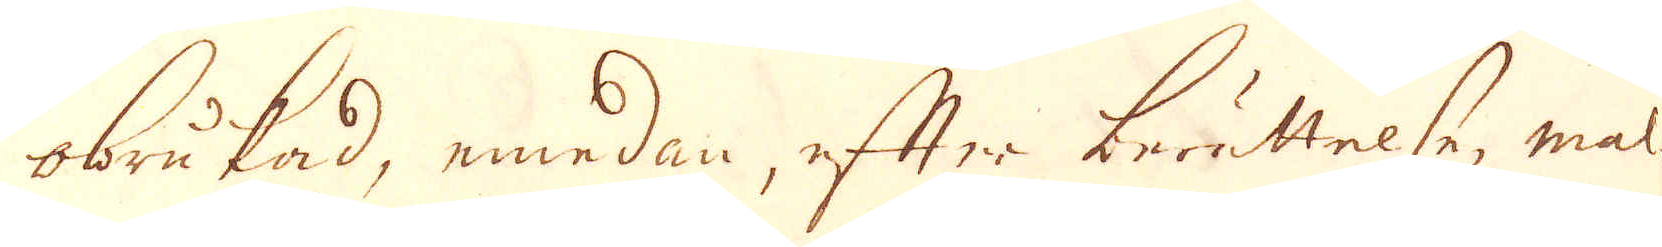obrukad, emedan, efter berättelse, mal-
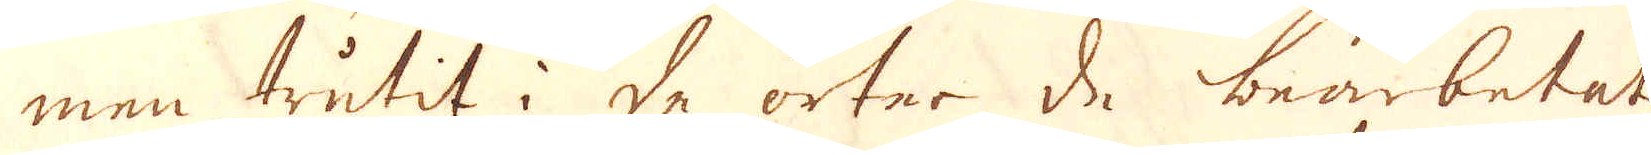men trutit i de orter de bearbetat,
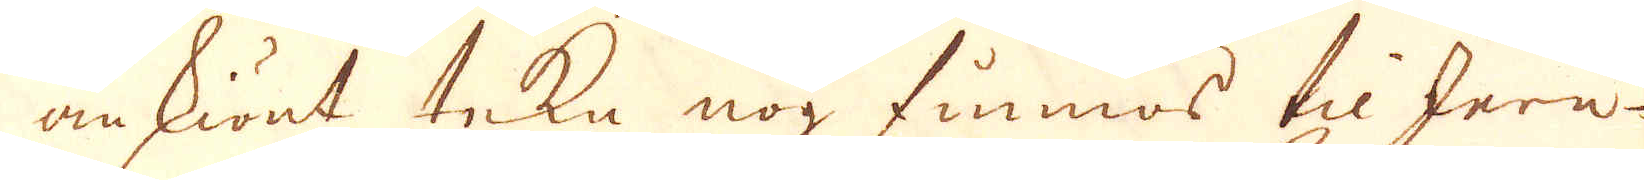omskiönt tekn nog finnas til Jern-
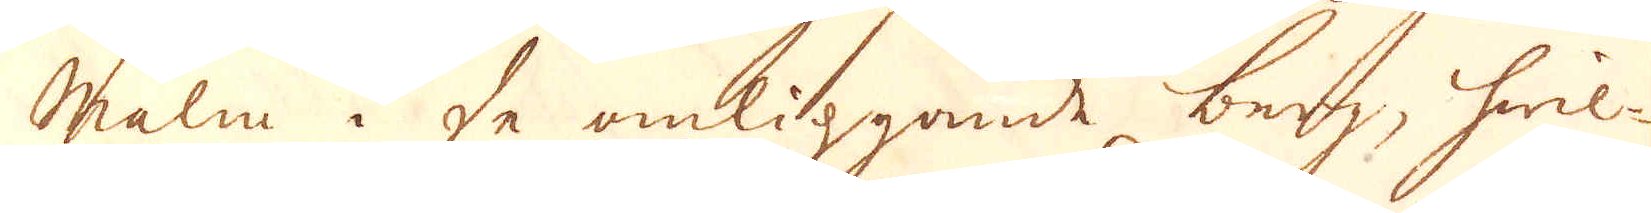malm i de omliggande berg, hwil-
